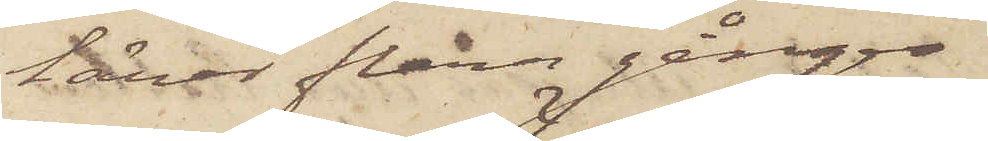lärer flera gånger
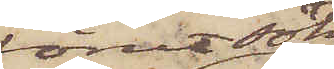förut sökt
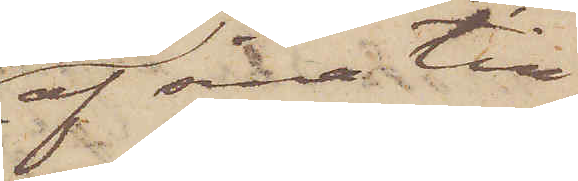af sina till¬
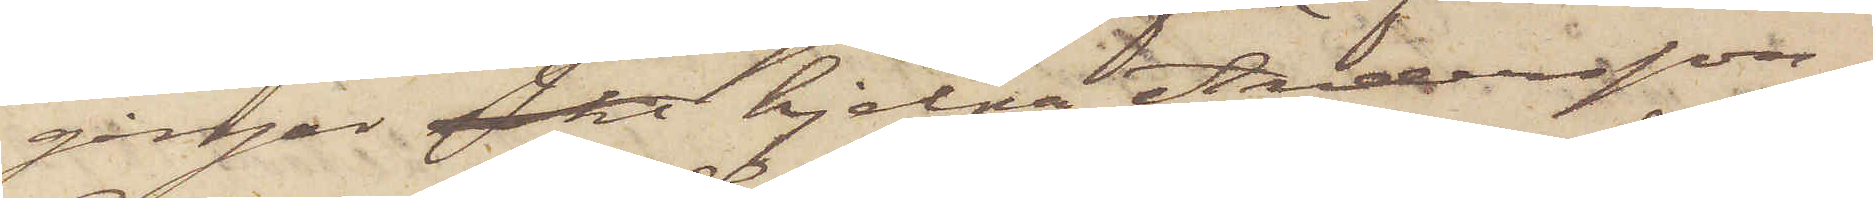gånger sökt hjelpa Andersson.
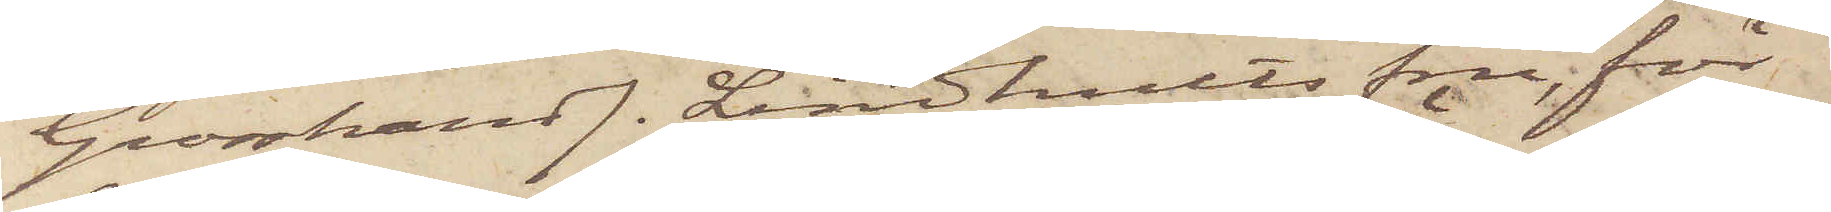Grosshandl. Lindhults fru, för
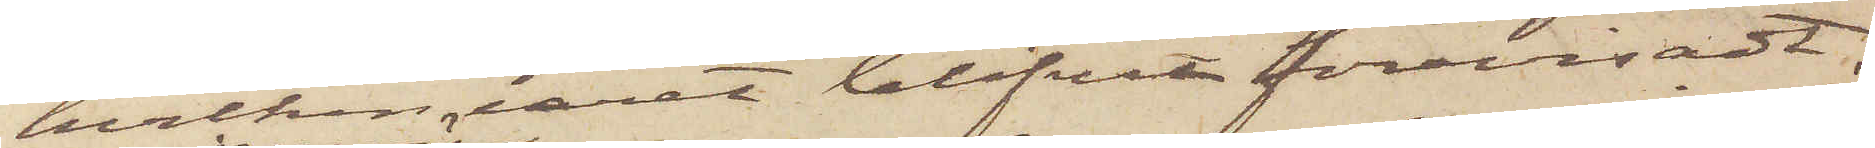hvilken uret blifvit förevisadt,
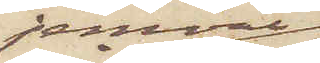jemväl
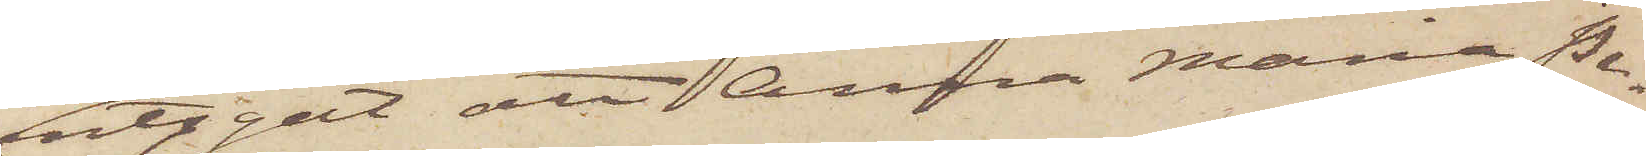intygat att Anna Maria Pe¬
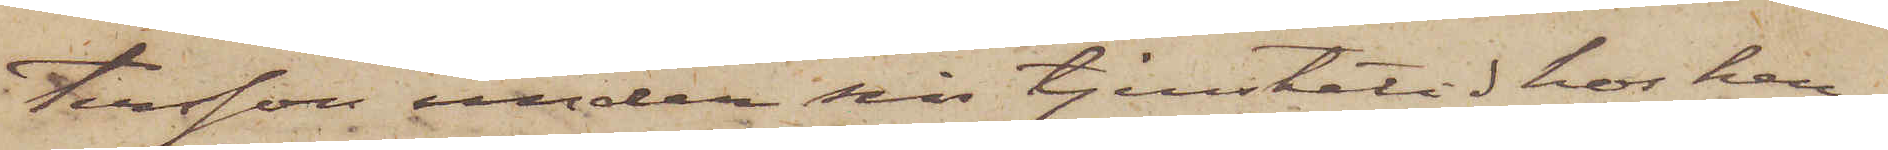tersson under sin tjenstetid hos hen¬
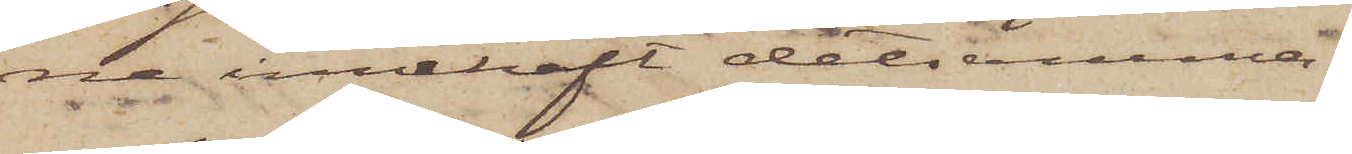ne innehaft detsamma.
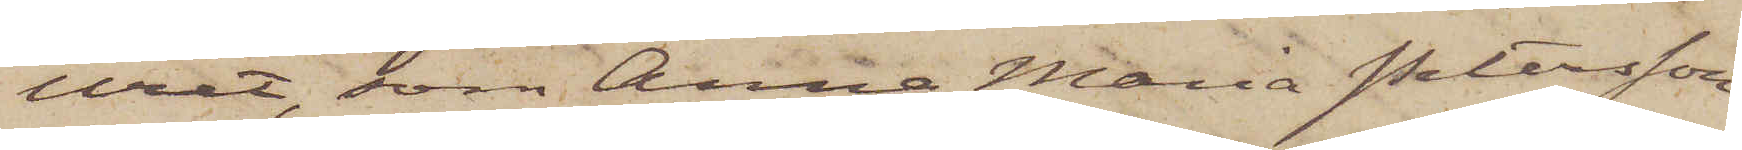Uret, som Anna Maria Petersson
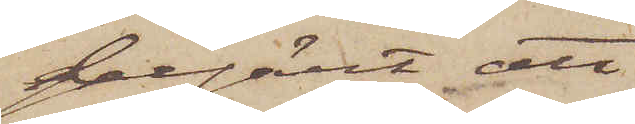begärt att
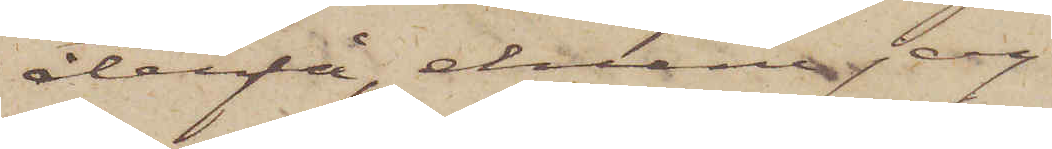återfå, ehuru jag
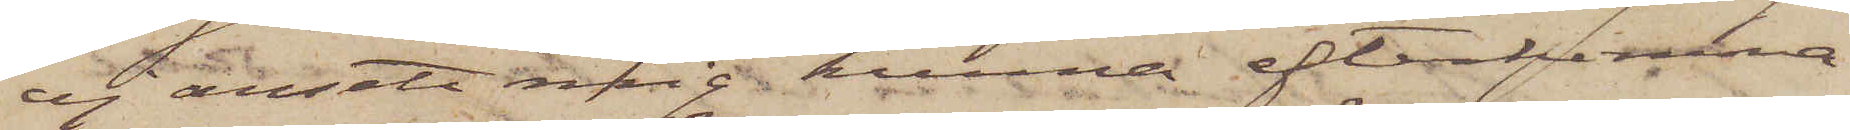ej ansett mig kunna efterkomma
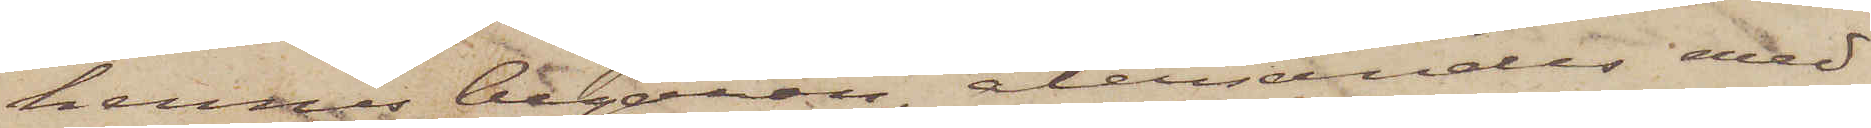hennes begäran, återsändes med
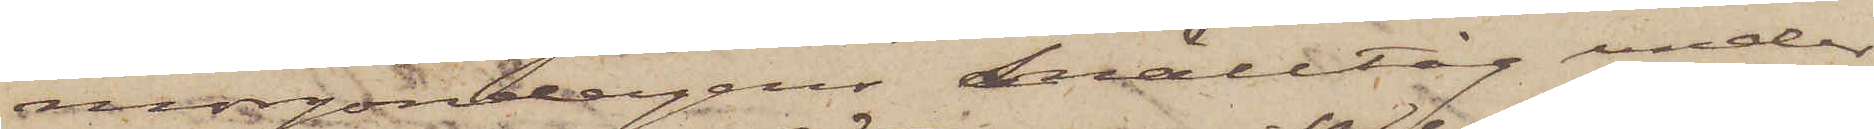morgondagens snälltåg under
